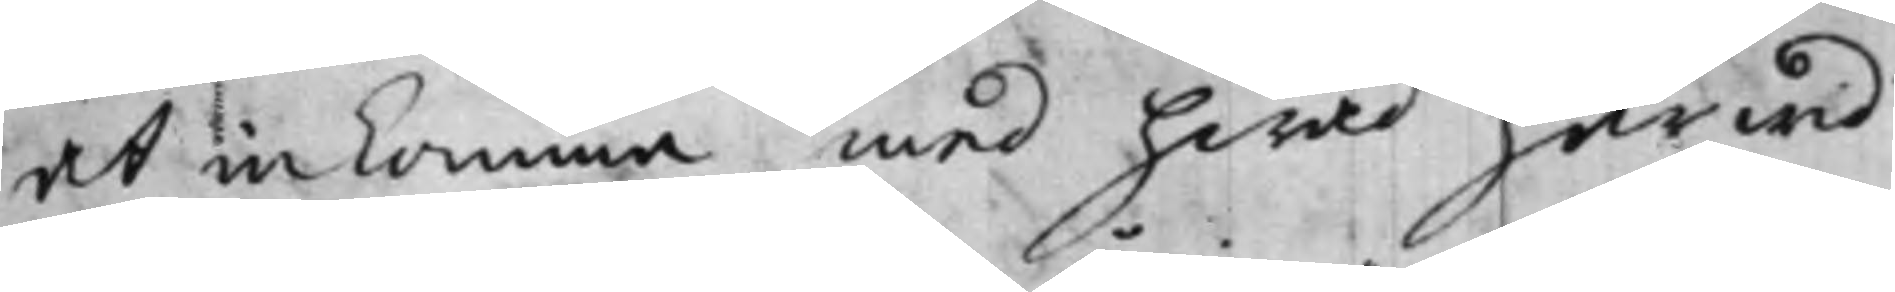at inkomma med hwad härwid
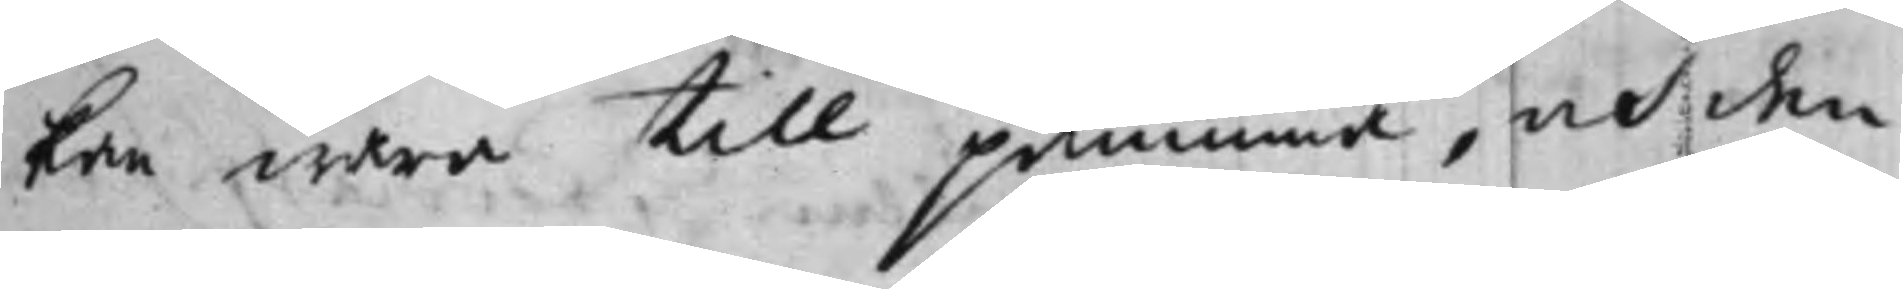kan wara till påminna, och den
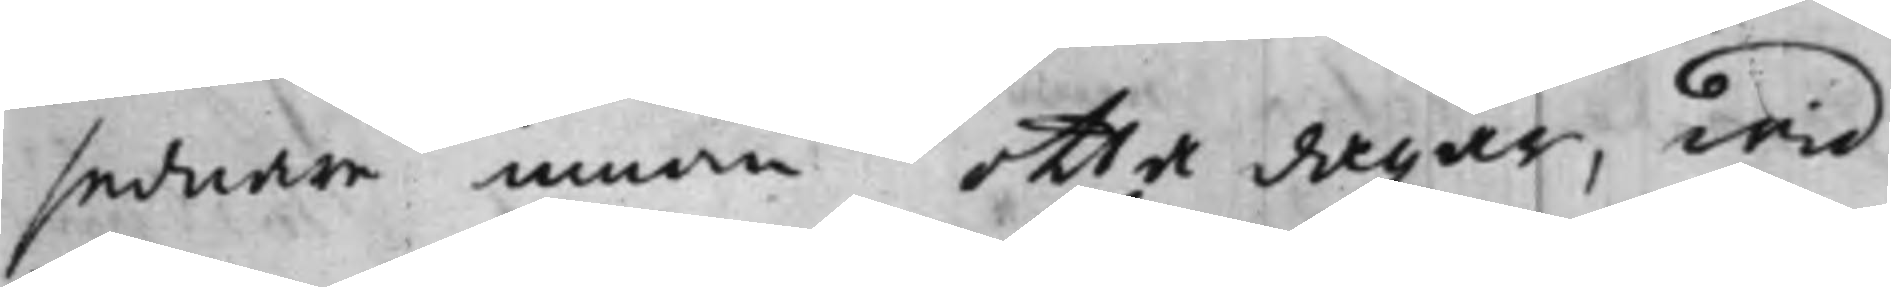sednare innom otta dagar, wid
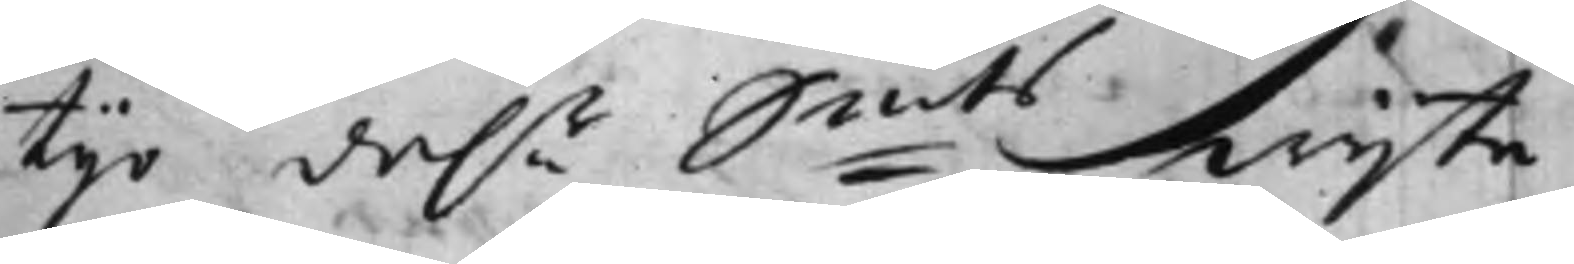tijo da.r S:mts wijte.
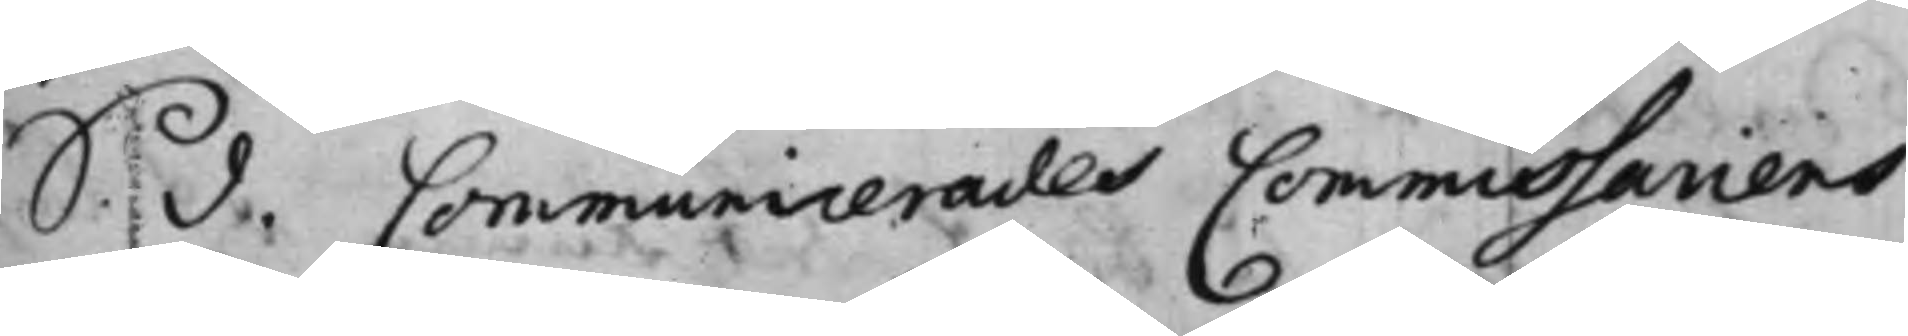S. d. Communicerades Commissariens
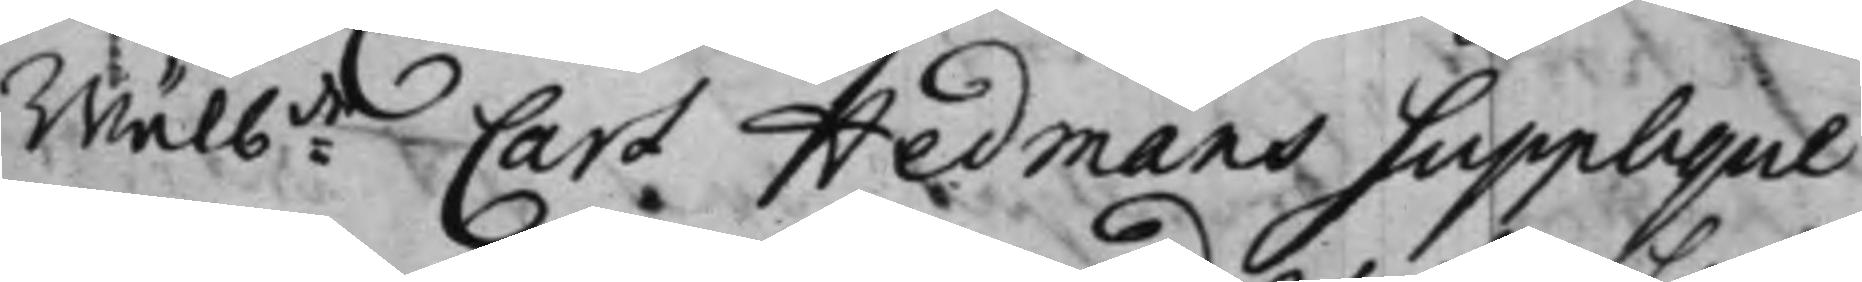Wälb:de Carl Hedmans Supplique
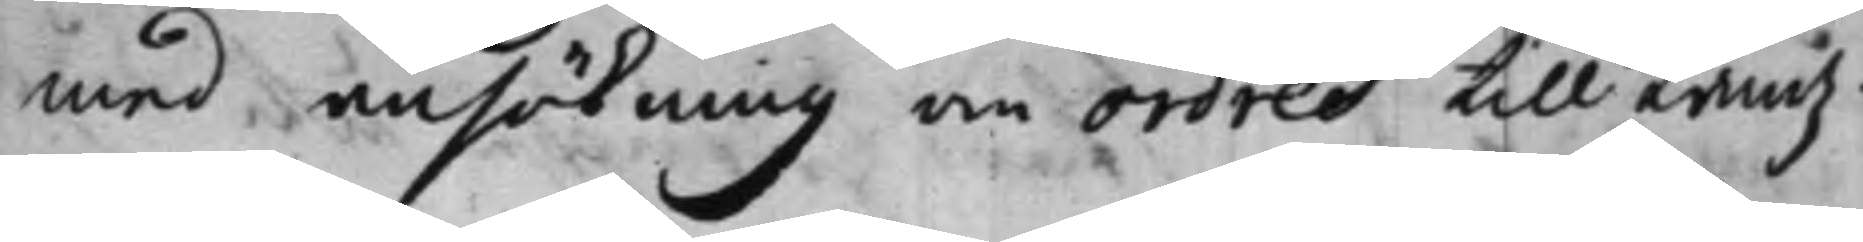med ansökning om ordres till Landz¬
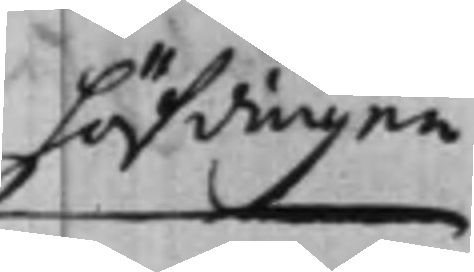höfdingen
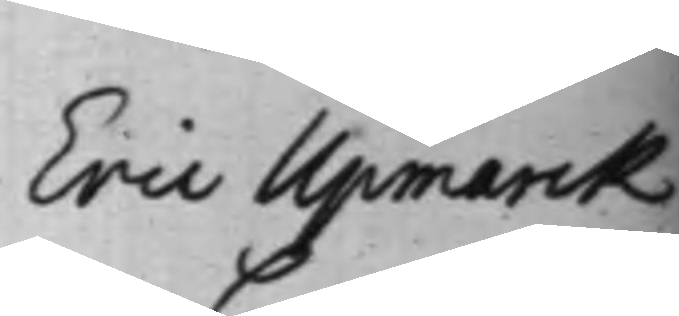Eric Upmarck
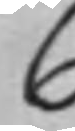C
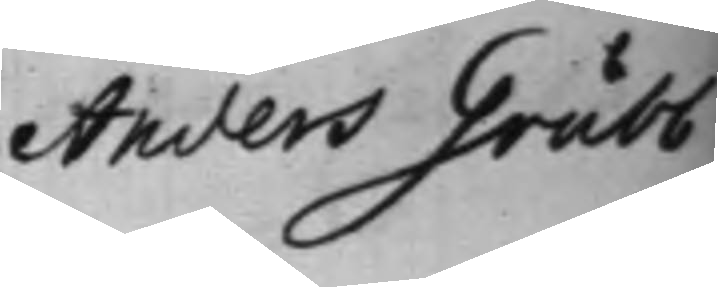Anders Grubb
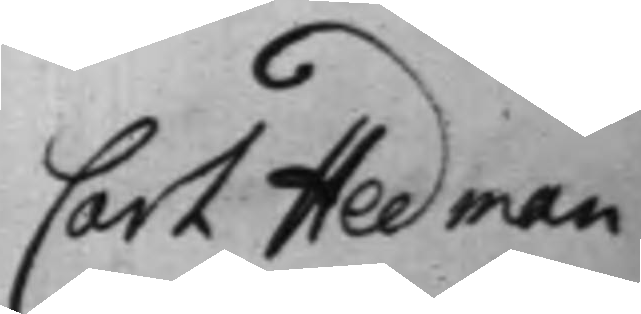Carl Hedman
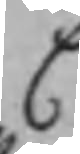C
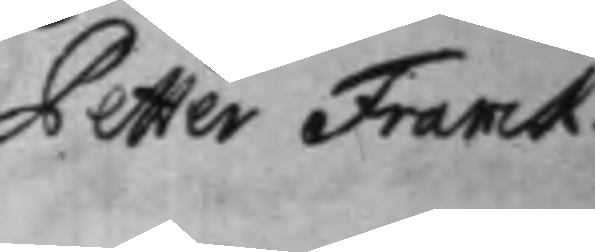Petter Franck.
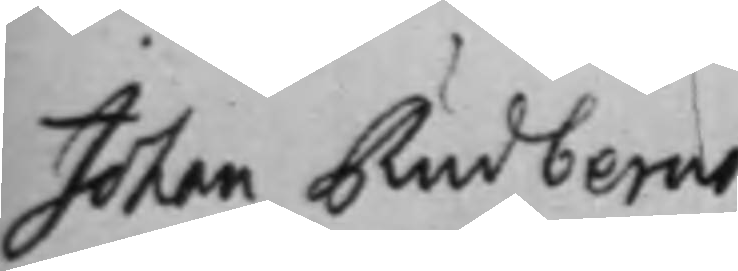Johan Rudberns
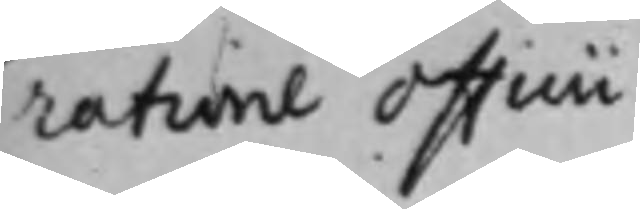ratione officii
